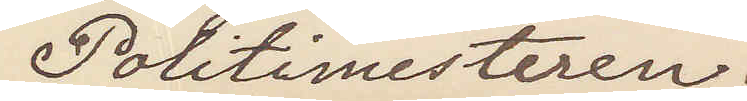Politimesteren.
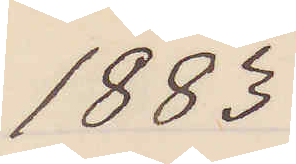1883
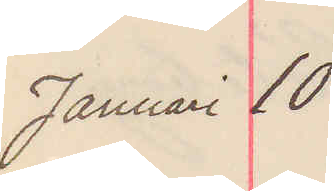Januari 10
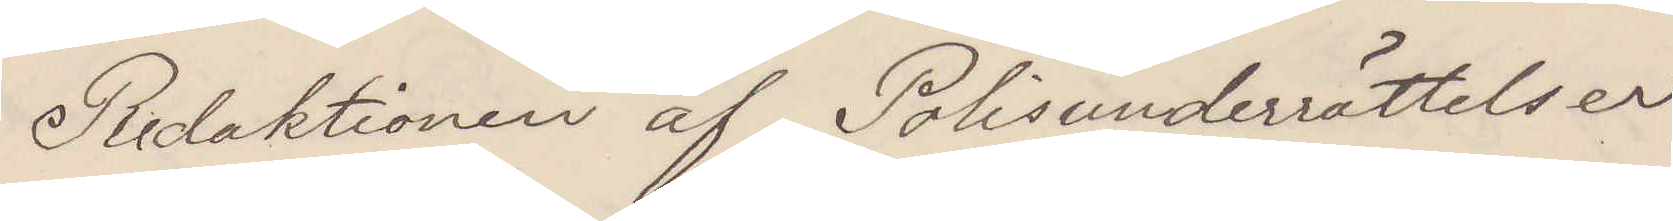Redaktionen af Polisunderrättelser
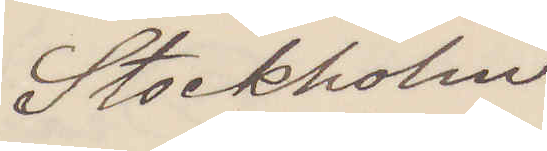Stockholm
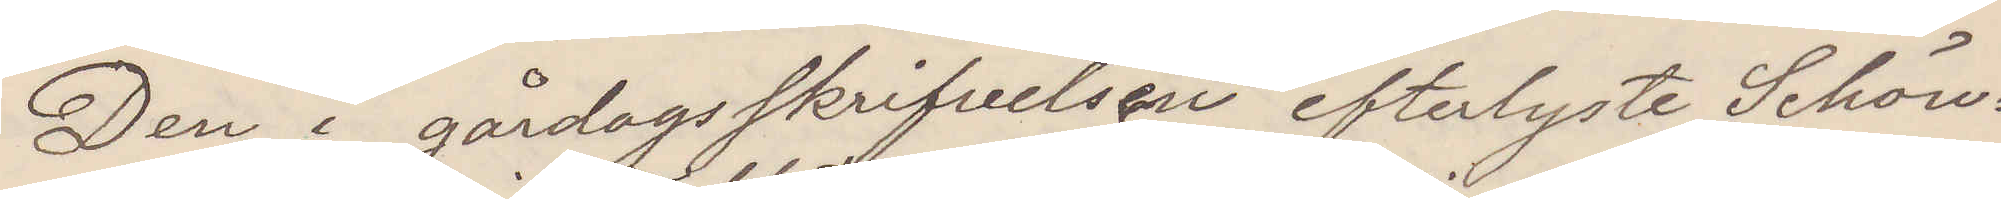Den i gårdagsskrifvelsen efterlyste Schön¬
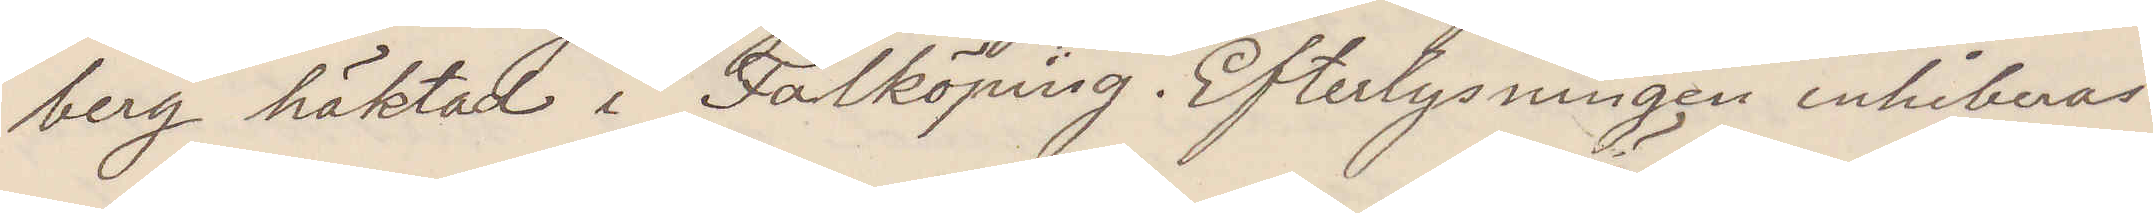berg häktad i Falköping. Efterlysningen inhiberas.
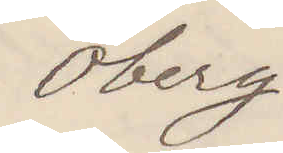Öberg
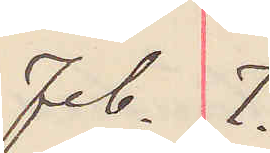feb. 7.
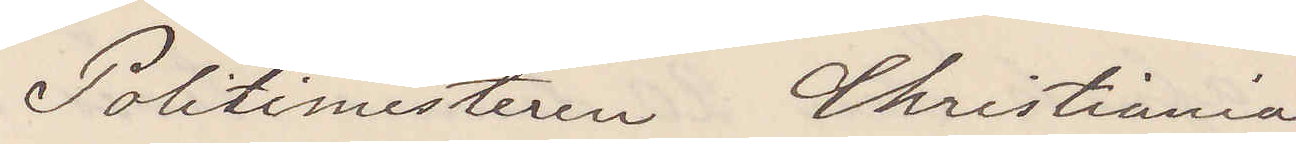Politimesteren Christiania
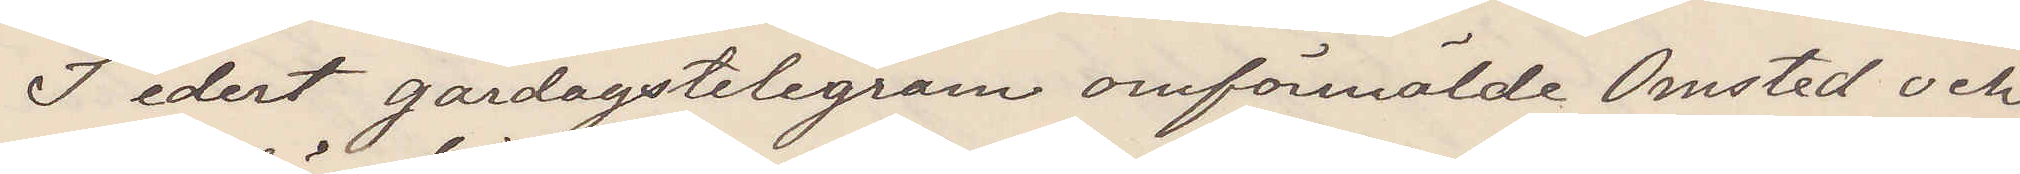I edert gårdagstelegram omförmälde Omsted och
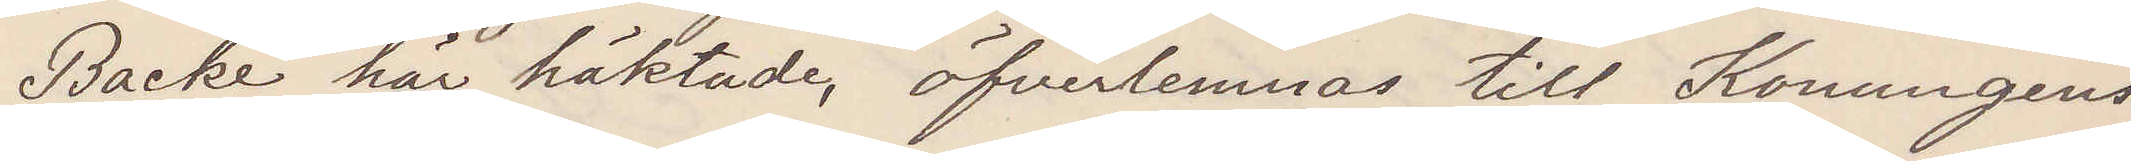Backe här häktade, öfverlemnas till Konungens
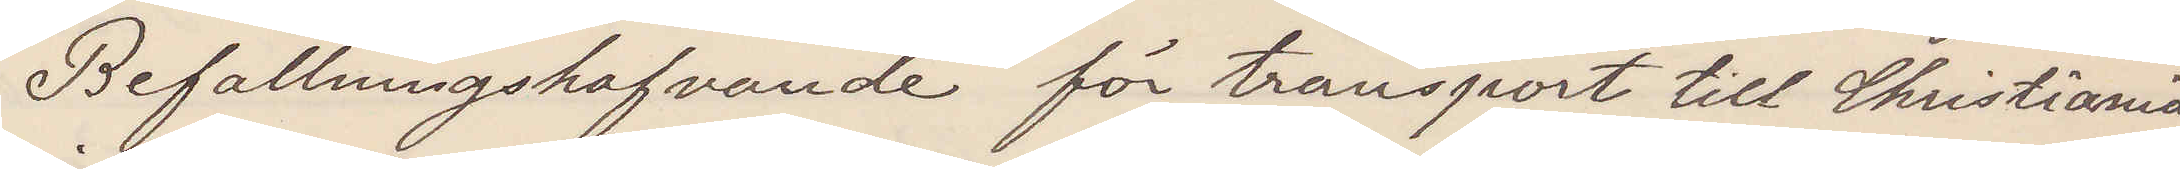Befallningshafvande för transport till Christiania
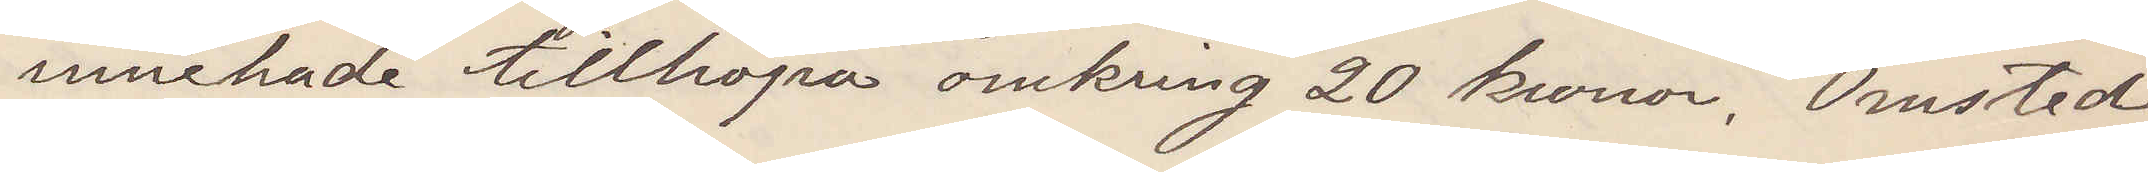innehade tillhopa omkring 20 kronor. Omsted
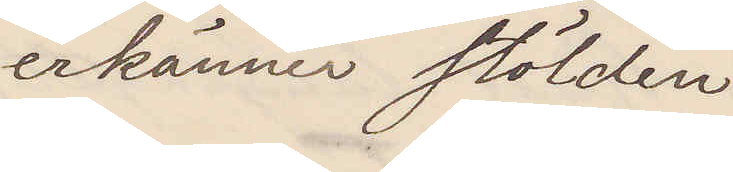erkänner stölden
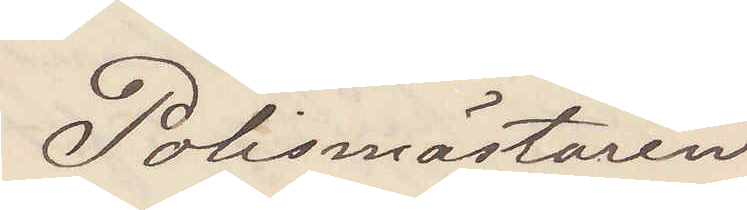Polismästaren
